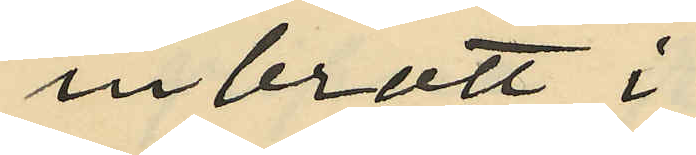inbrott i
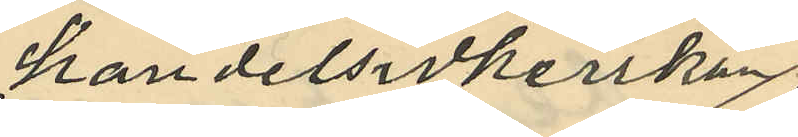handelsidkerskan
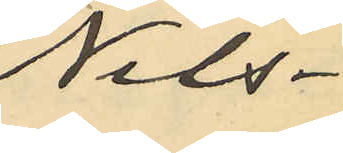Nils¬
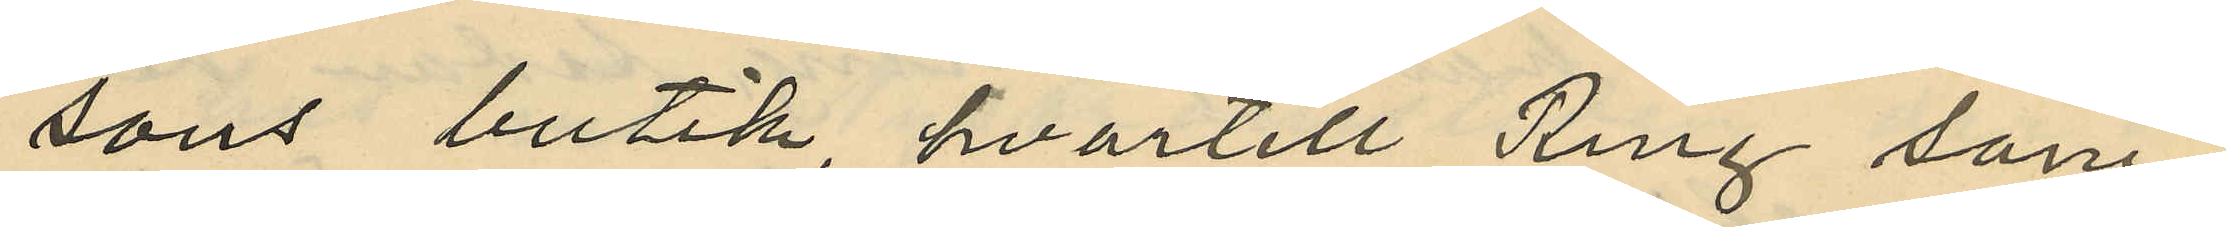sons butik, hvartill Ring sam¬
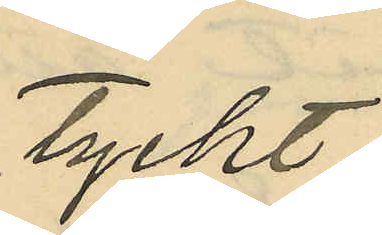tyckt;
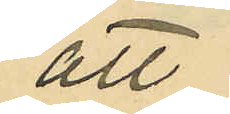att
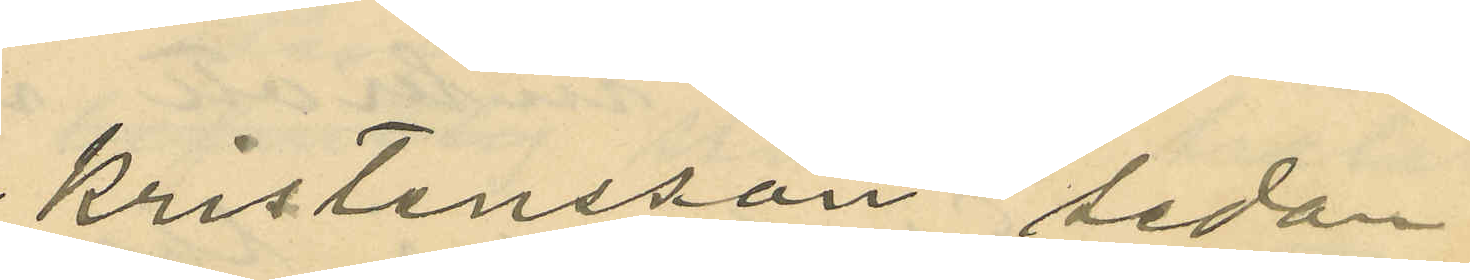Kristensson, sedan
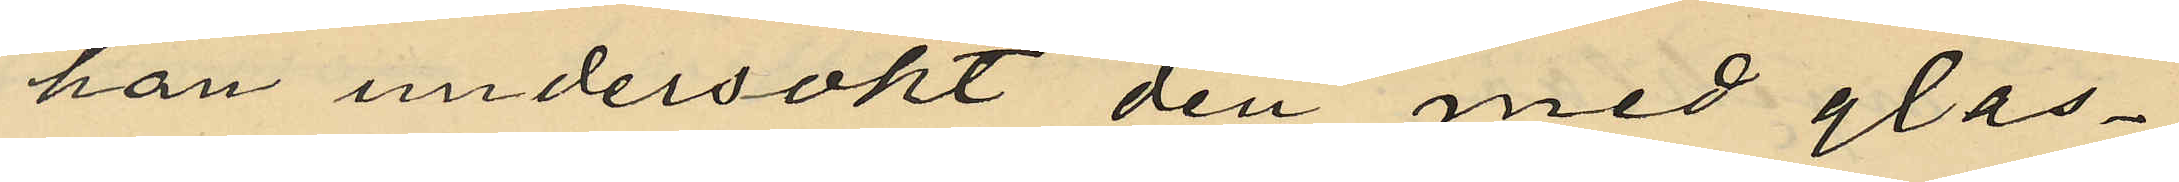han undersökt den med glas¬
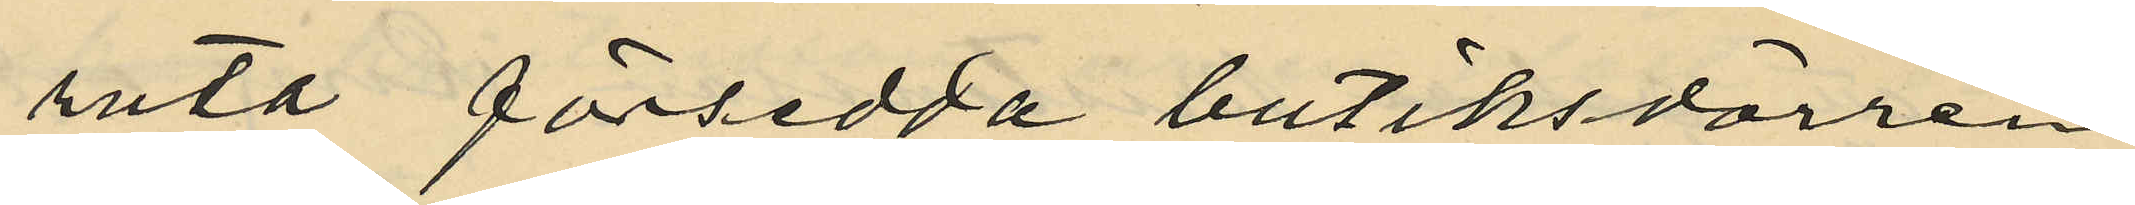ruta försedda butiksdörren
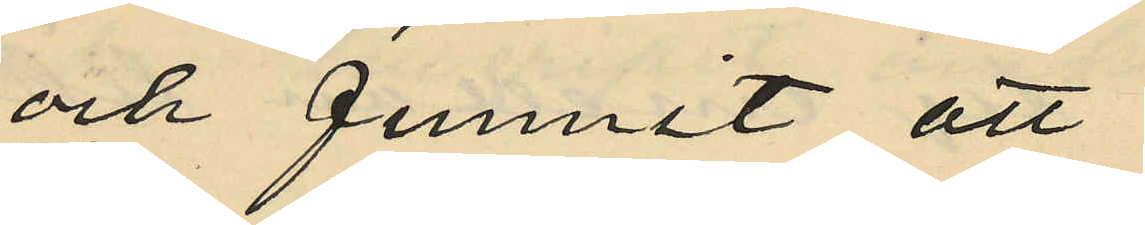och funnit att
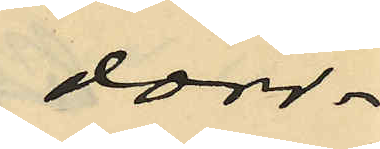dörr¬
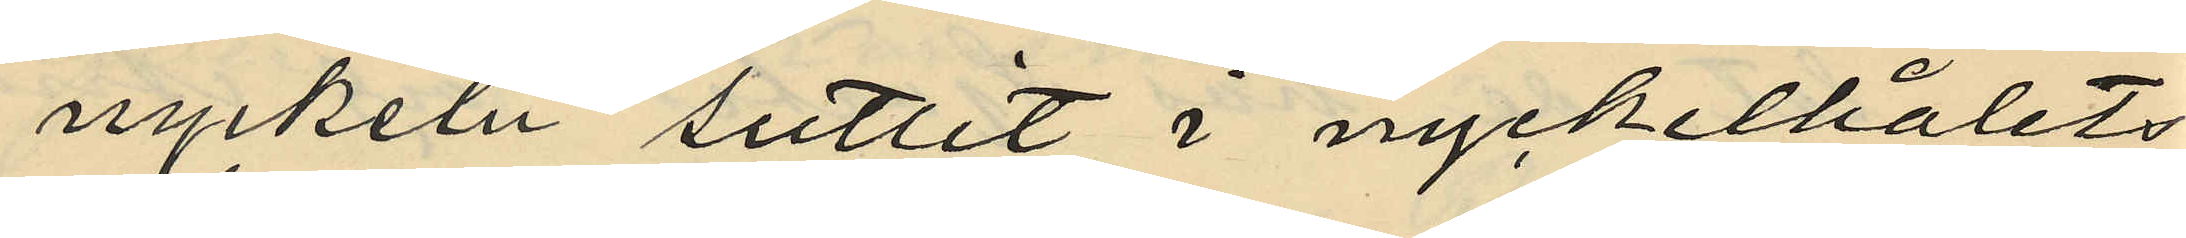nyckeln suttit i nyckelhålets
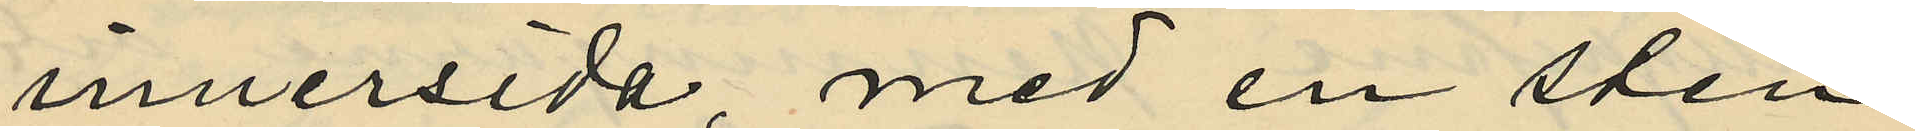innersida, med en sten
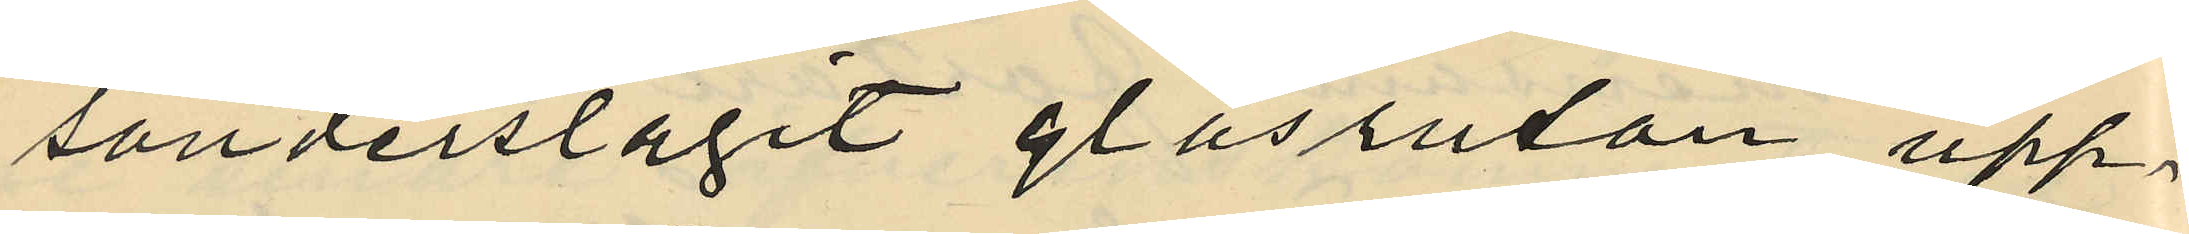sönderslagit glasrutan, upp¬
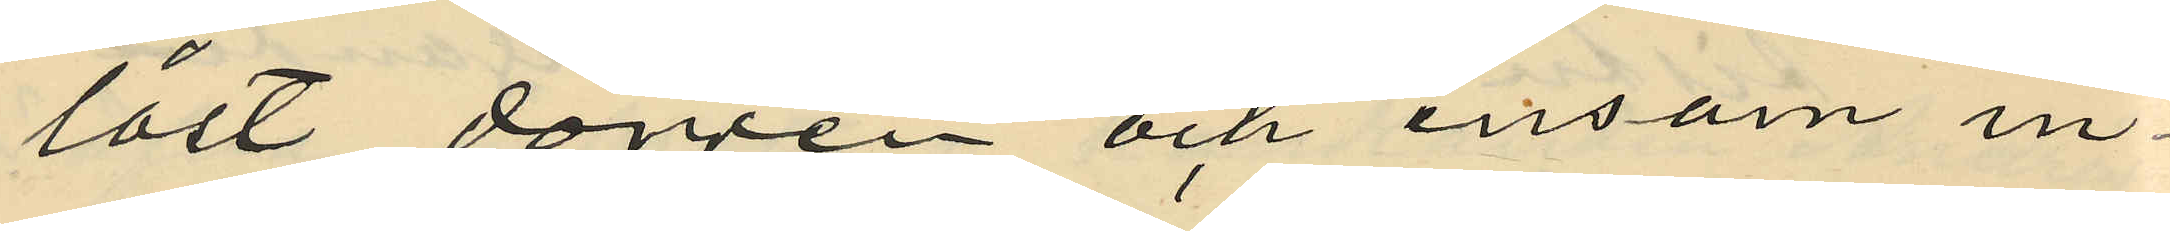låst dörren och ensam in¬
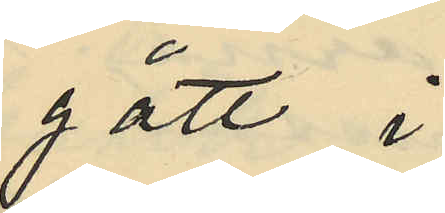gått i
